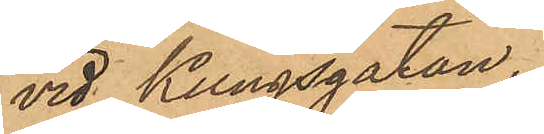vid Kungsgatan.
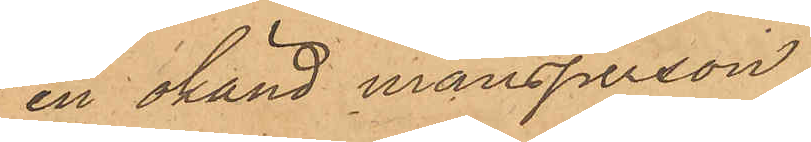en okänd mansperson,
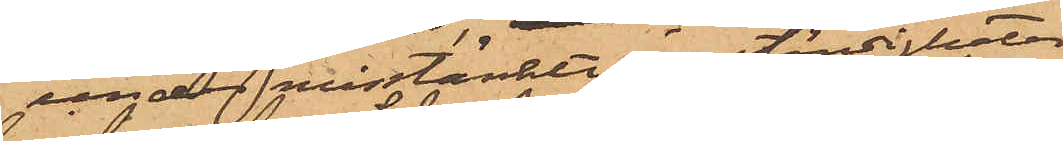under misstänkte omständigheter
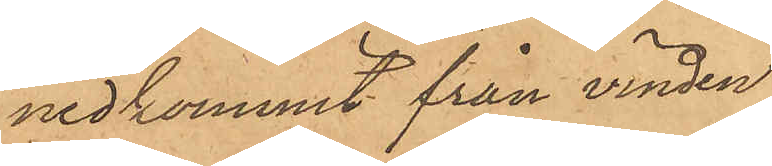nedkommit från vinden
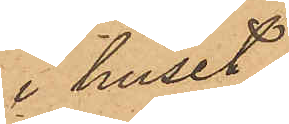i huset
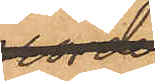och
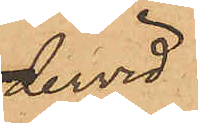dervid
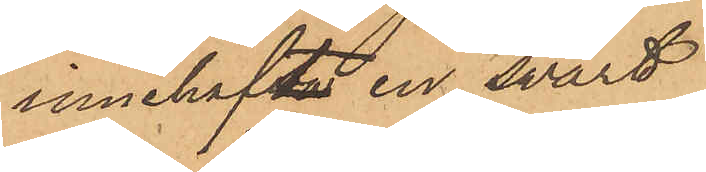innehaft en svart
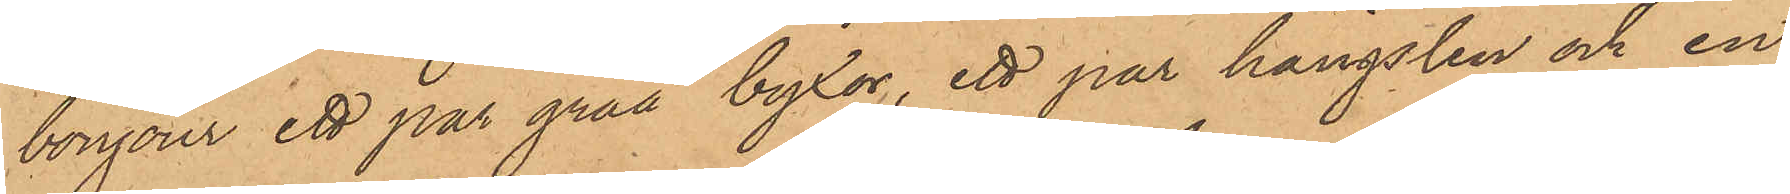bonjour ett par gråa byxor, ett par hängslen och en
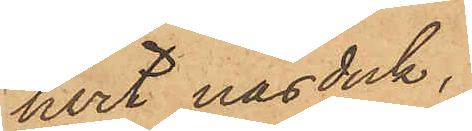hvit näsduk,
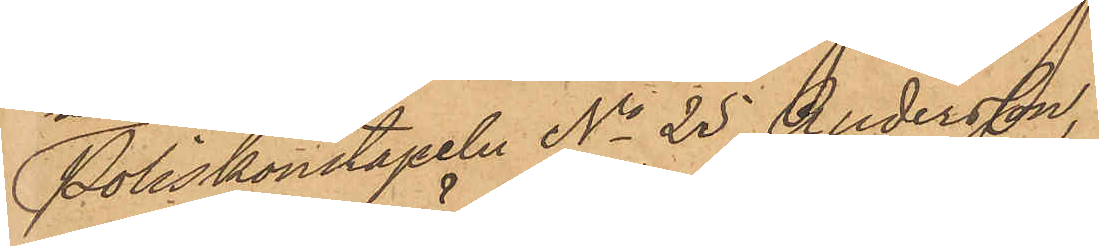Poliskonstapeln No 25 Andersson
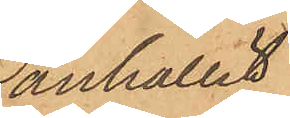anhållit
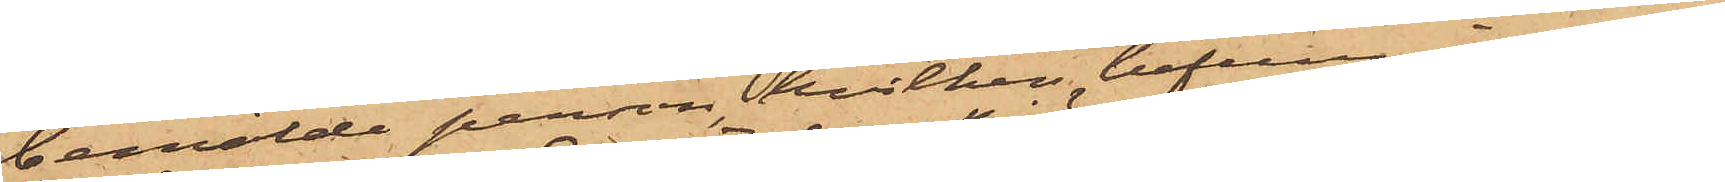bemälde person hvilken befunnits vara
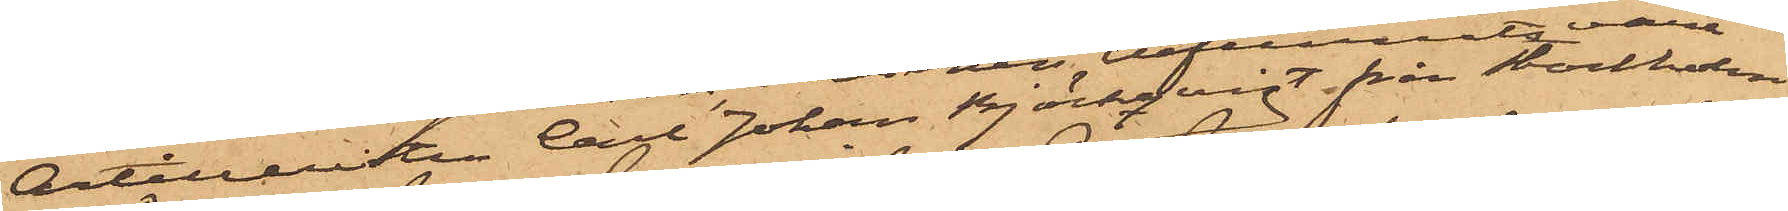Artilleristen Carl Johan Björkqvist från Stockholm.
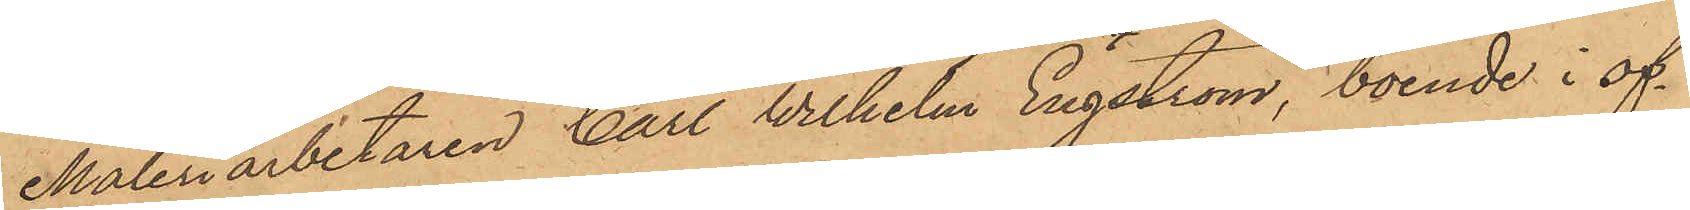Måleriarbetaren Carl Wilhelm Engström, boende i of¬
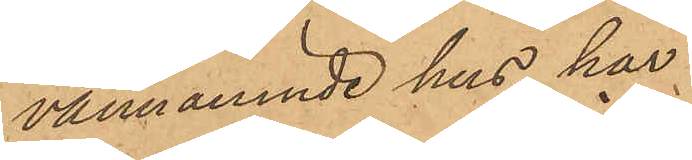vannämnde hus, har
